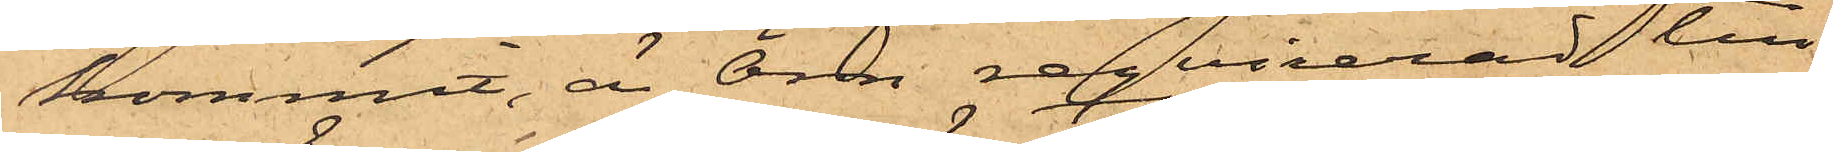kommit, är Örn reqvirerad till
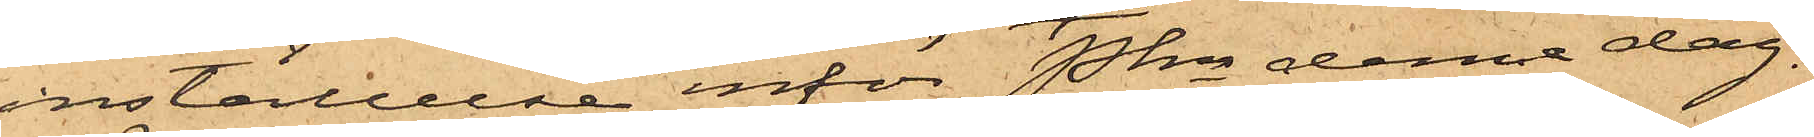inställelse inför Pkn denna dag.
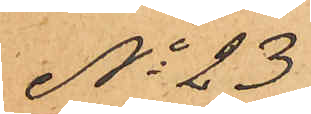No 23
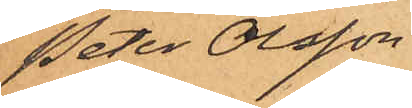Peter Olsson
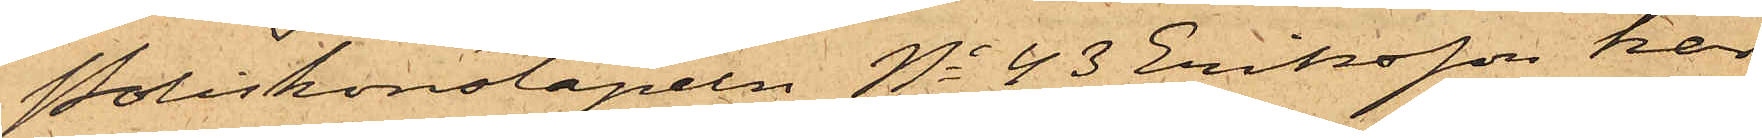Poliskonstapeln No 43 Eriksson har
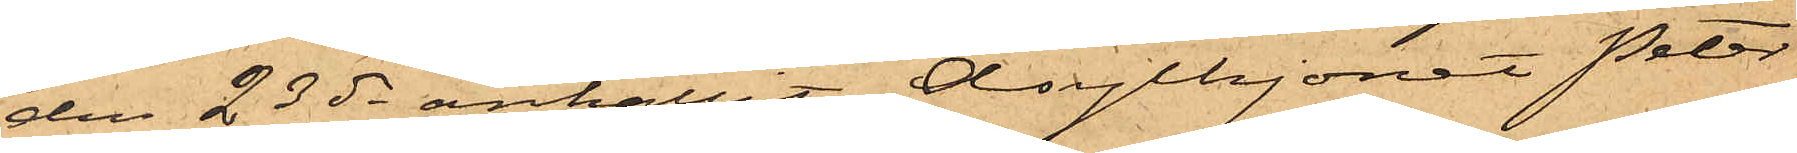den 23 ds anhållit Asylhjonet Peter
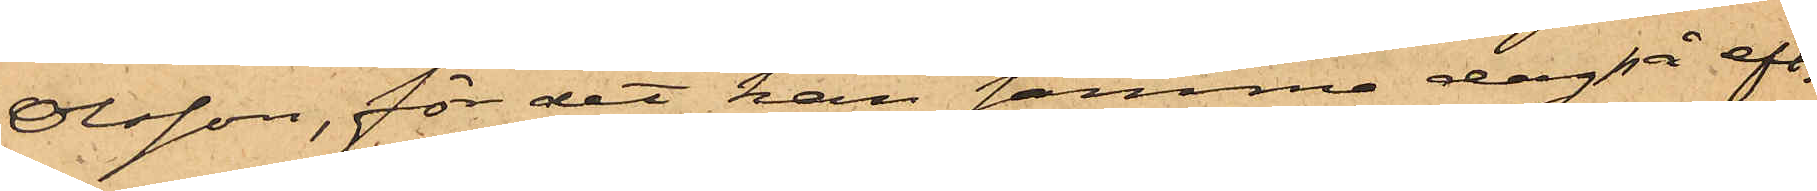Olsson, för det han samma dag på eft.
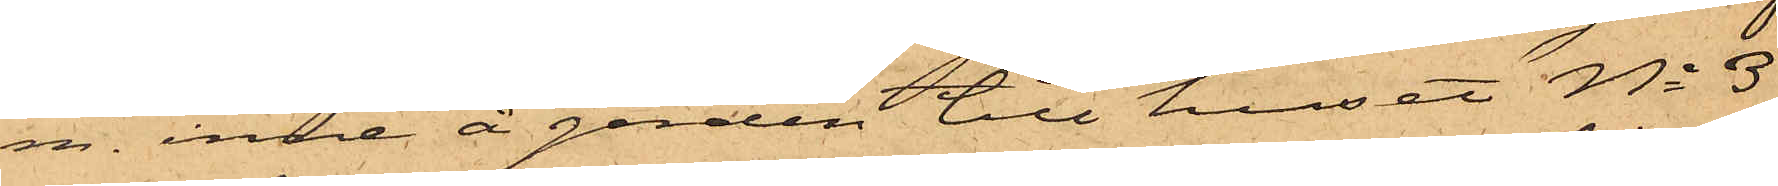m. inne å gården till huset No 33
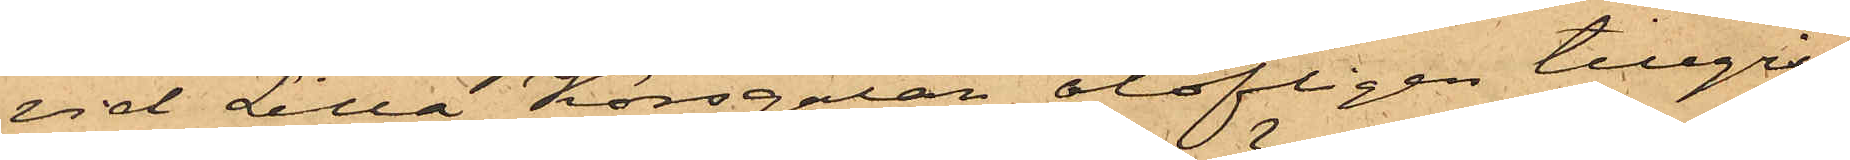vid Lilla Korsgatan olofligen tillgri¬
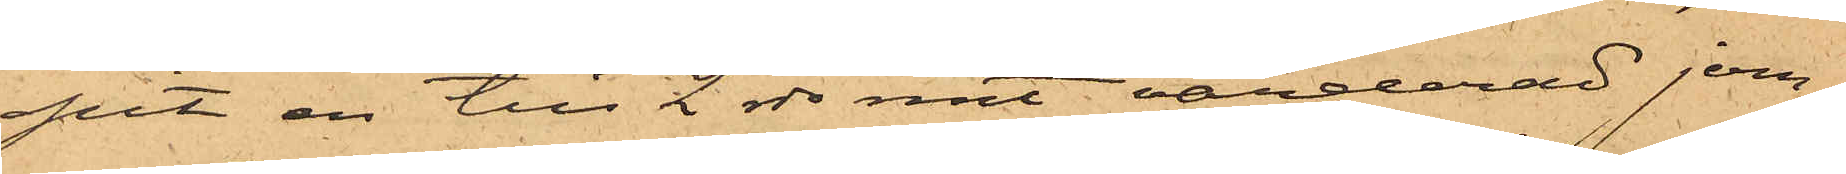pit en till 2 rdr rmt värderad jern¬
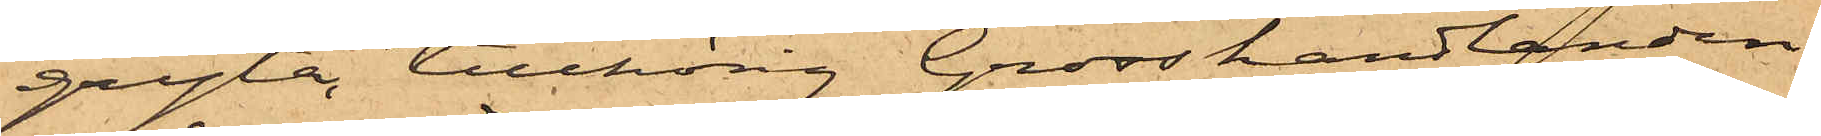gryta tillhörig Grosshandlanden
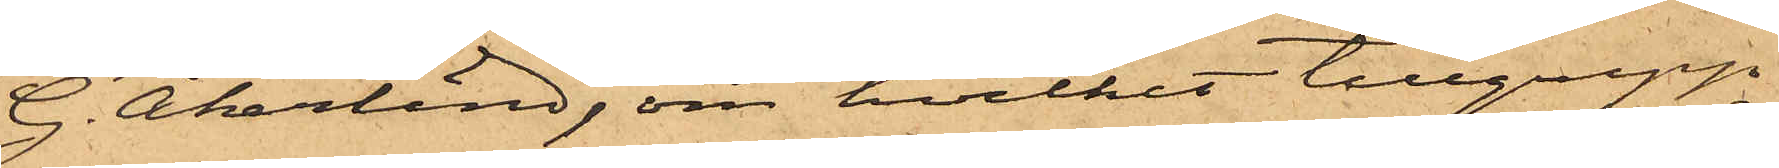G. Åkerlind, om hvilket tillgrepp
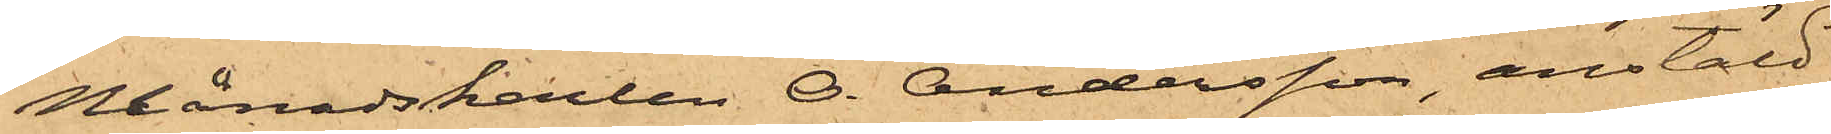Månadskarlen O. Andersson, anstäld
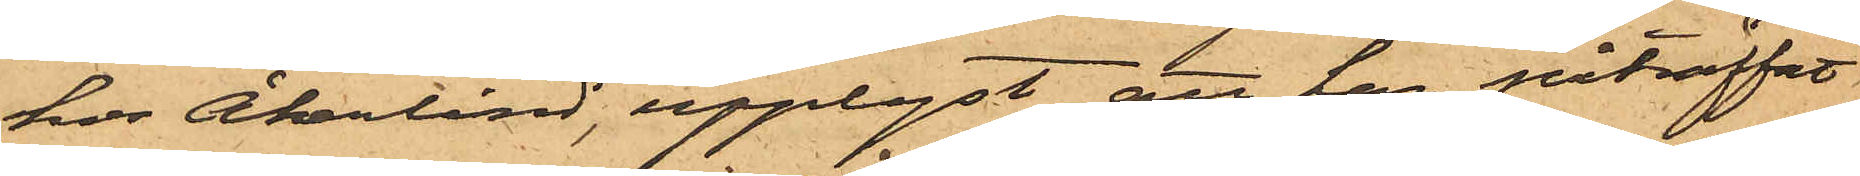hos Åkerlind, upplyst att han påträffat
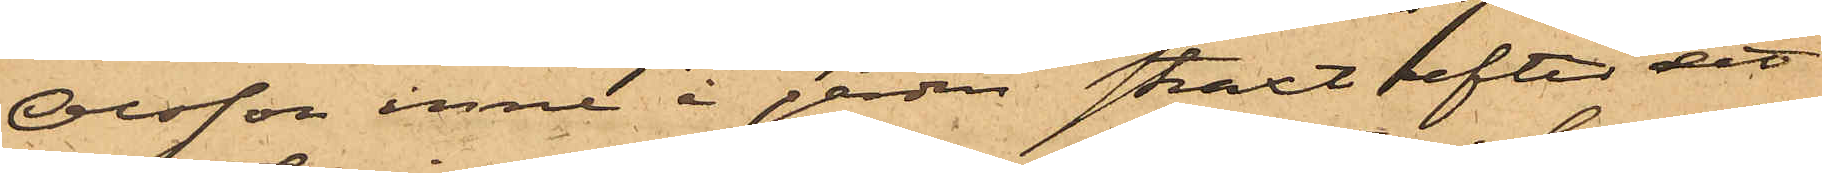Olsson inne i gården straxt efter det
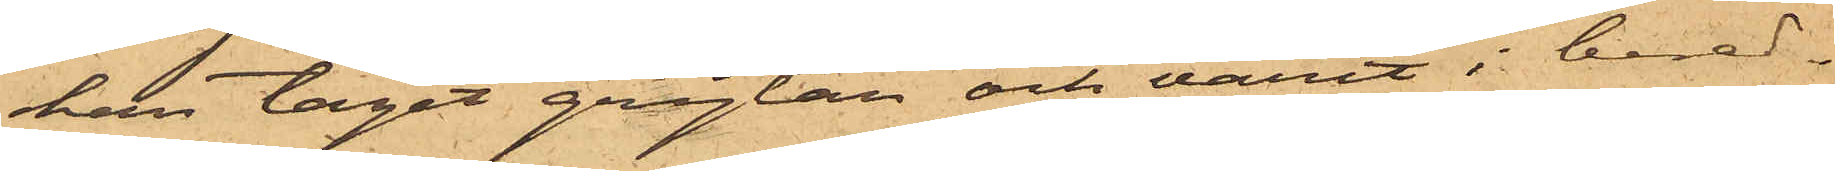han tagit grytan och varit i bered¬
